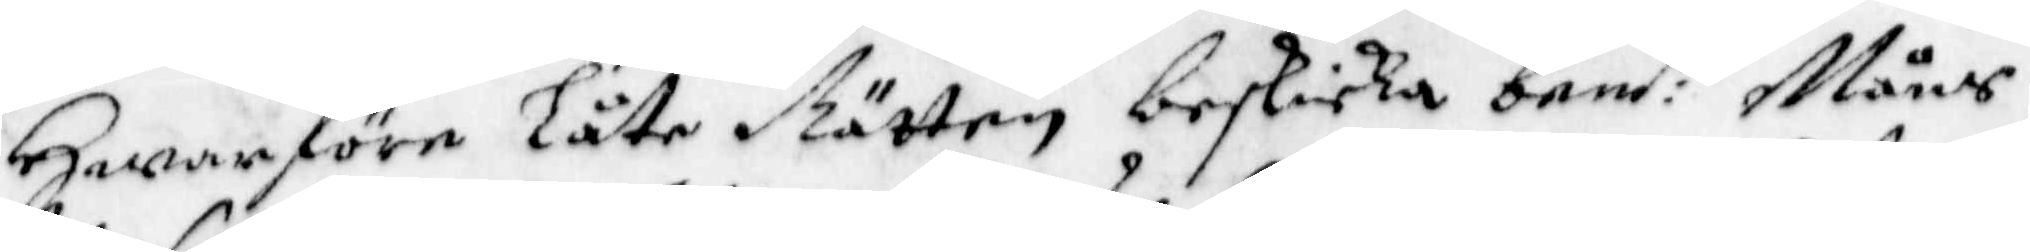Hwarföre Låte Rätten beskicka bem:te Måns
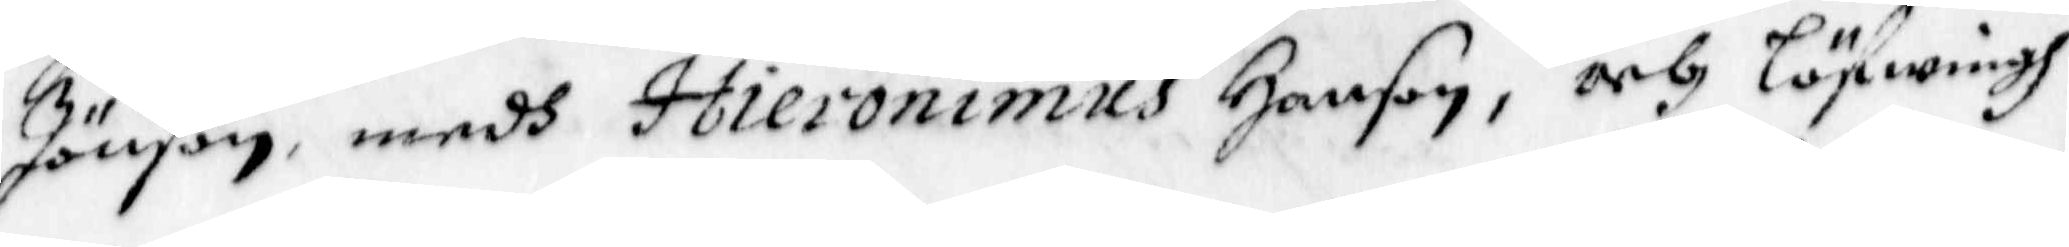Jönson, medh Hieronimus Hanson, och Löfwingh
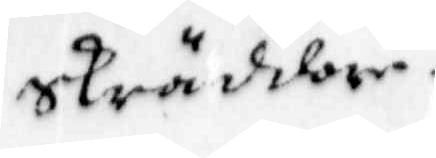skräddare
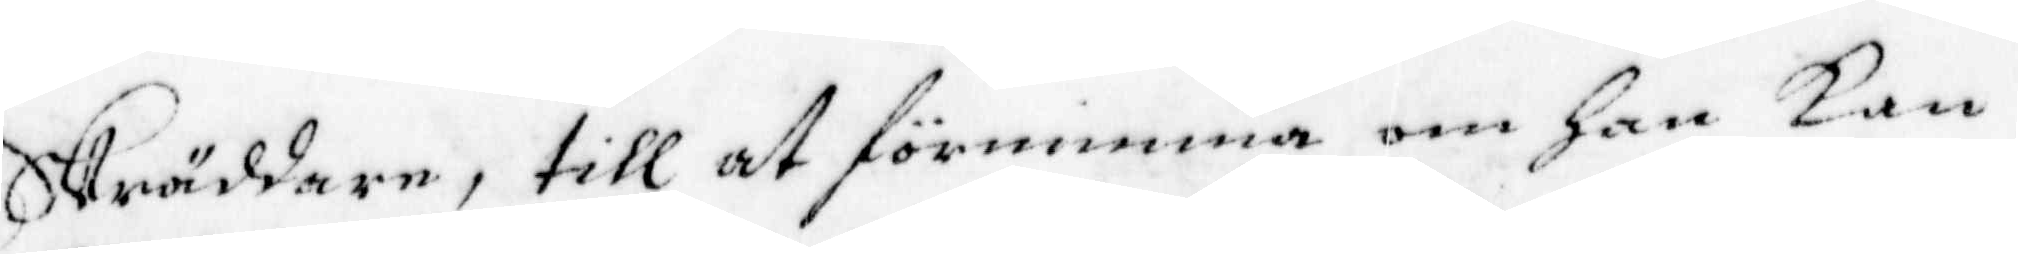Skräddare, till at förnimma om han kan
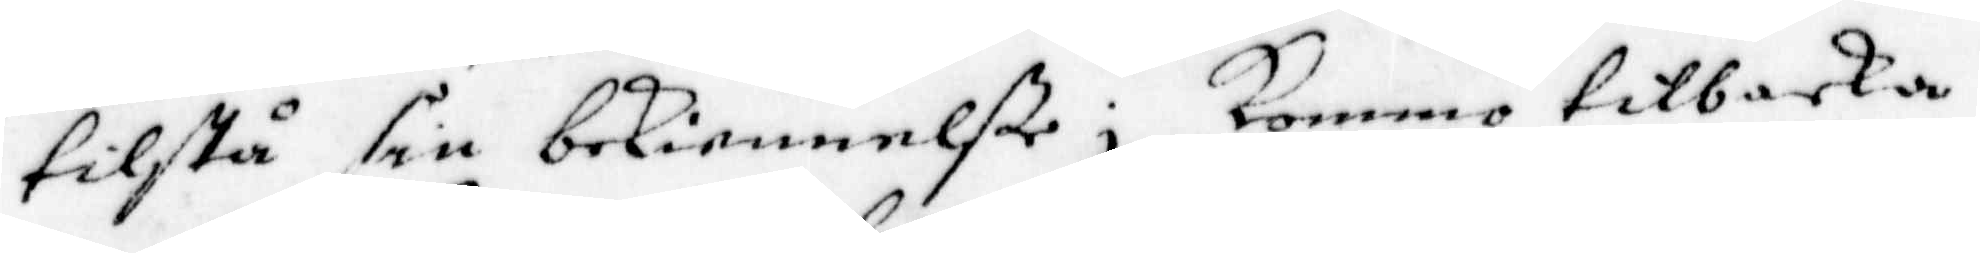tilstå sin bekiennelße; Kommo tilbaka
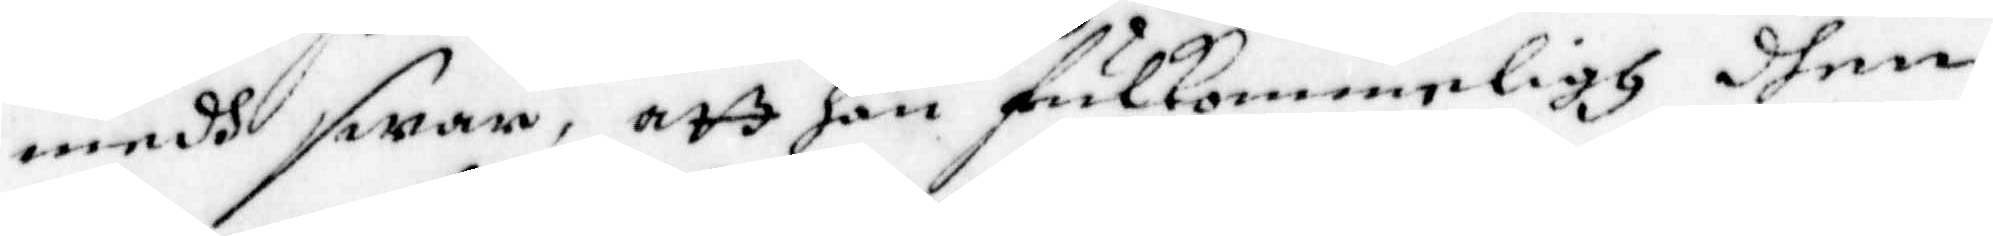medh swar, att han fulkommeligh dhen
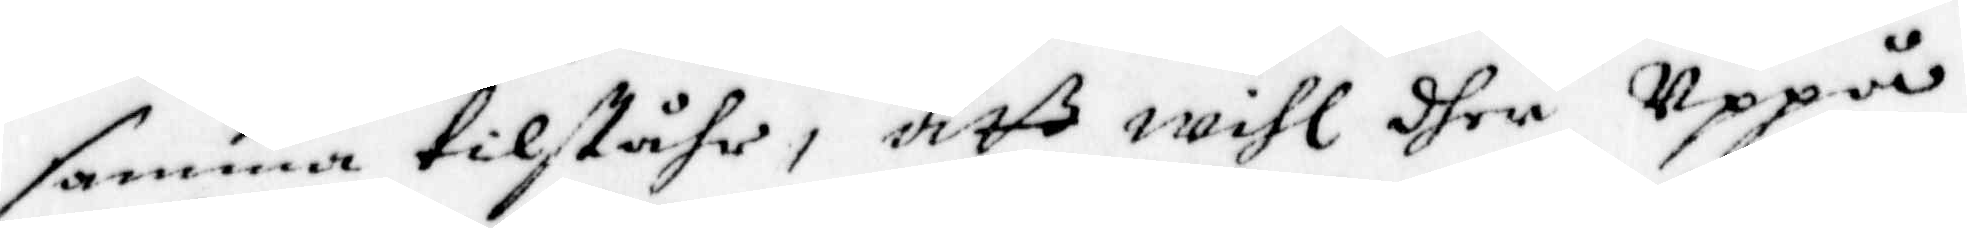samma tilståhr, att will dher Uppå
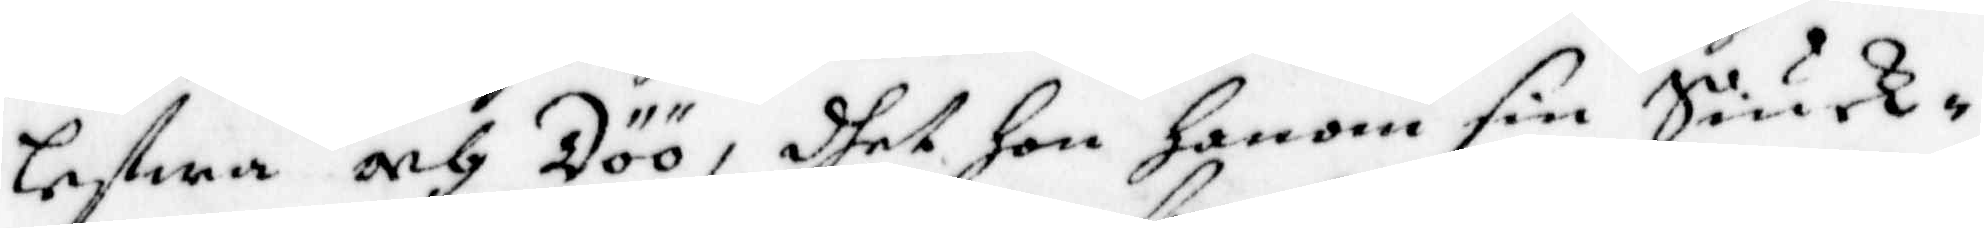lefwa och Döö, dhet Hon Honom sin Siuk¬
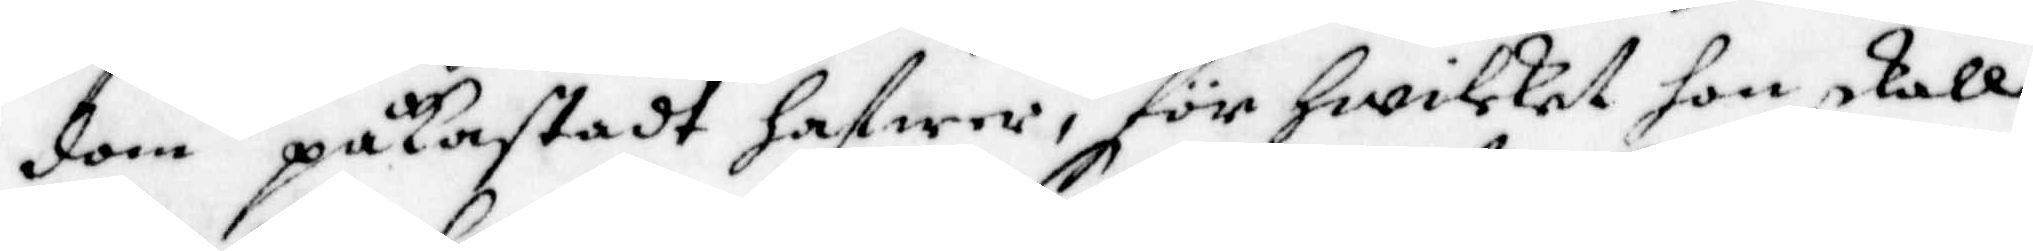dom påkastadt hafwer, för hwilket hon skall
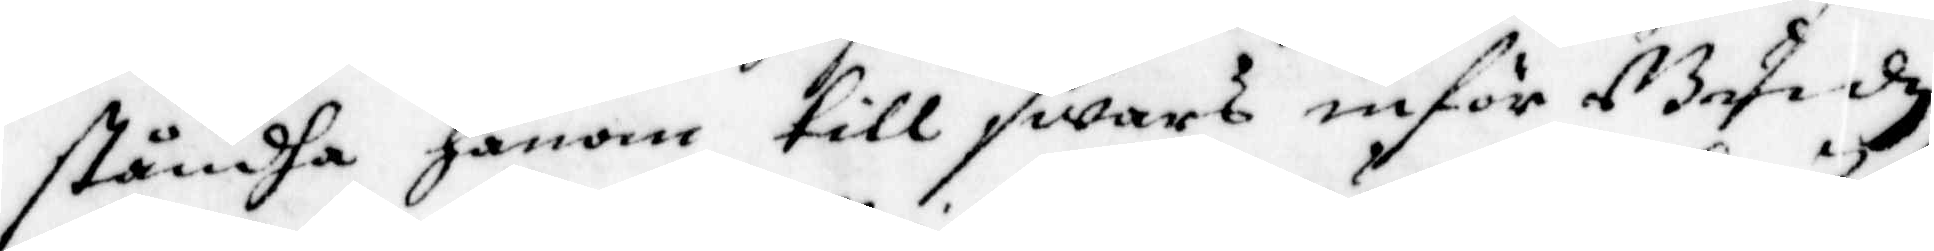ståndha honom till swars inför Guudz
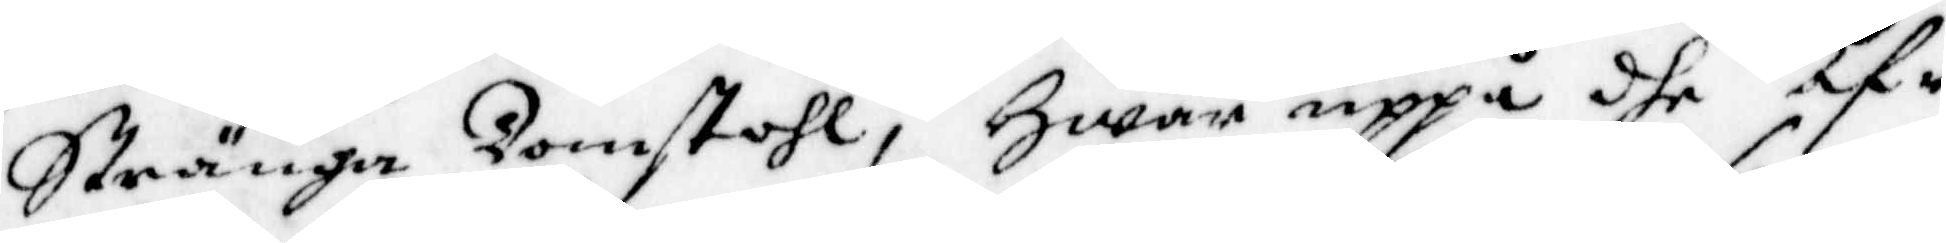Stränga Domstohl, Hwar uppå dhe öf¬
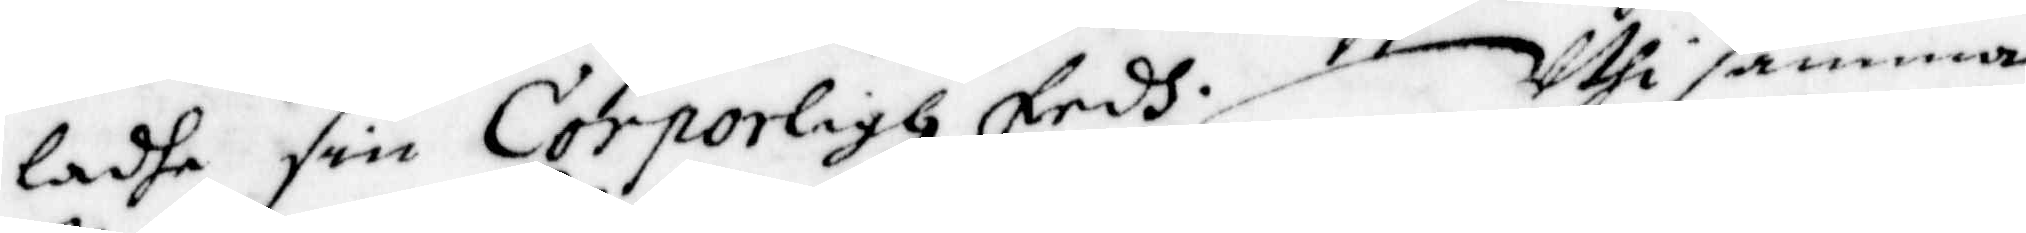ladhe sin Corporligh Eedh. Uthi samma
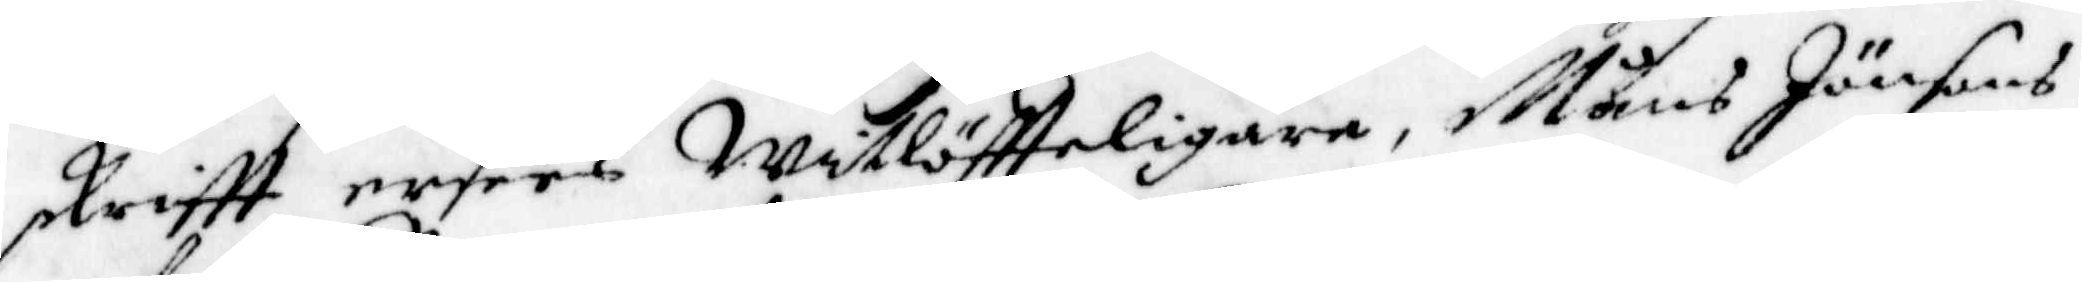skriftt ersees Witlöftteligare, Måns Jänsons
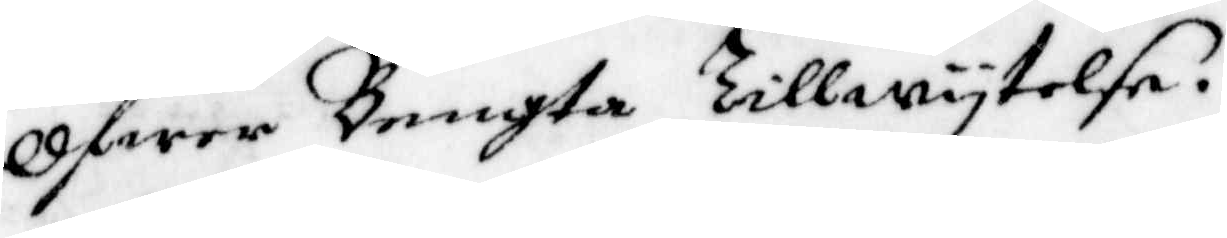Ofwer Bengta tillwytelse.
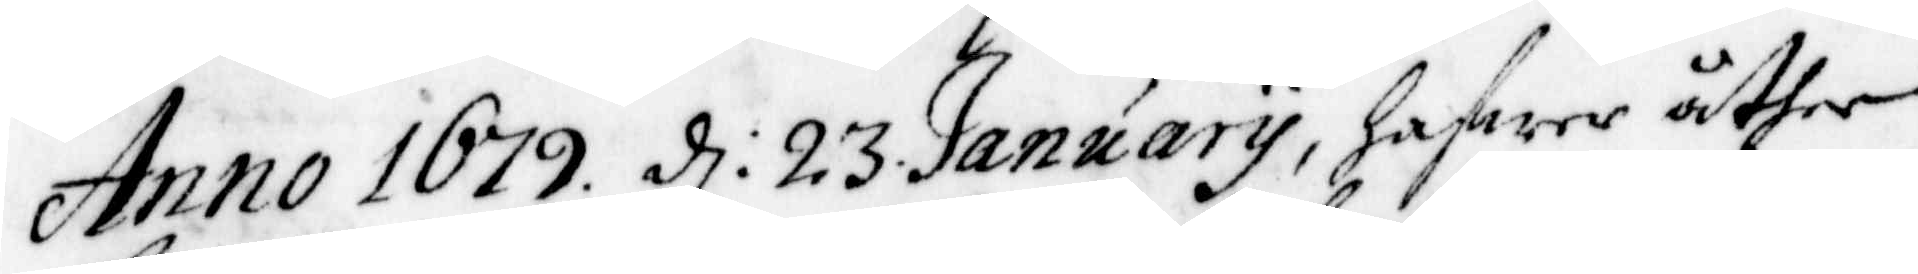Anno 1679 d: 23 January, hafwer åther
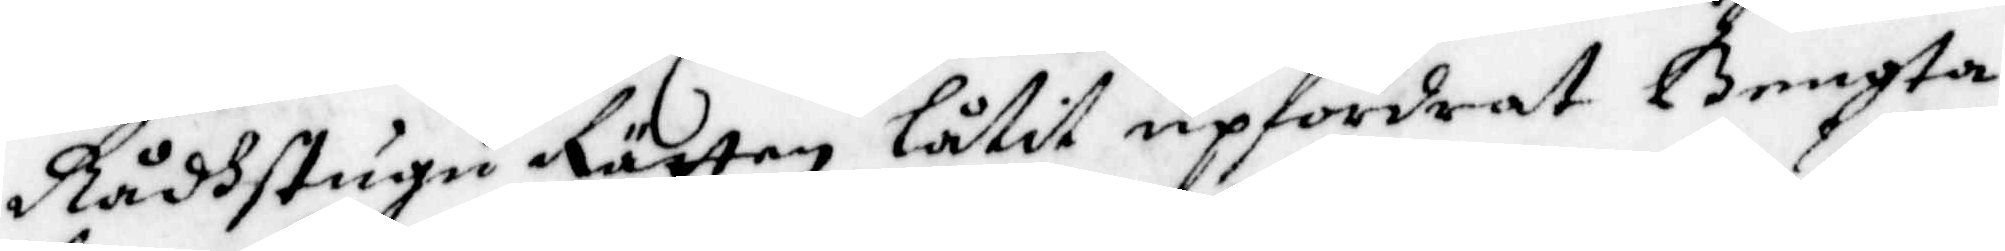Rådstugu Rätten låtit upfordrat Bengta
